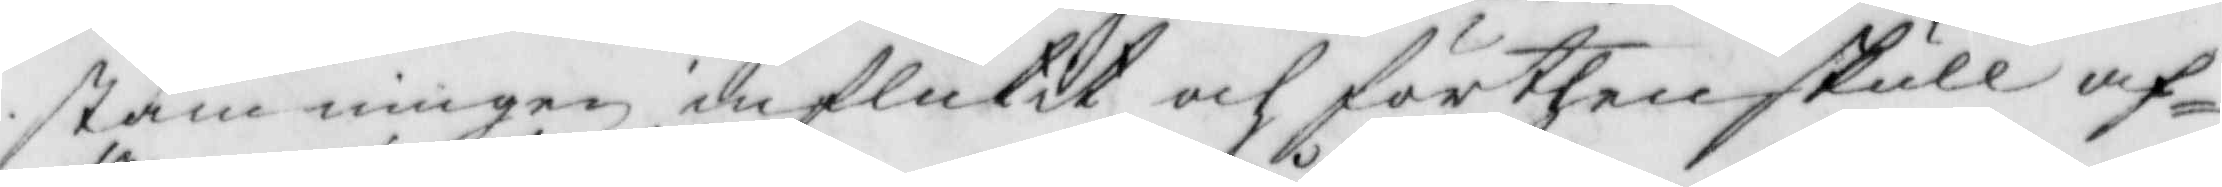stämningen influtit och förthen skull af¬
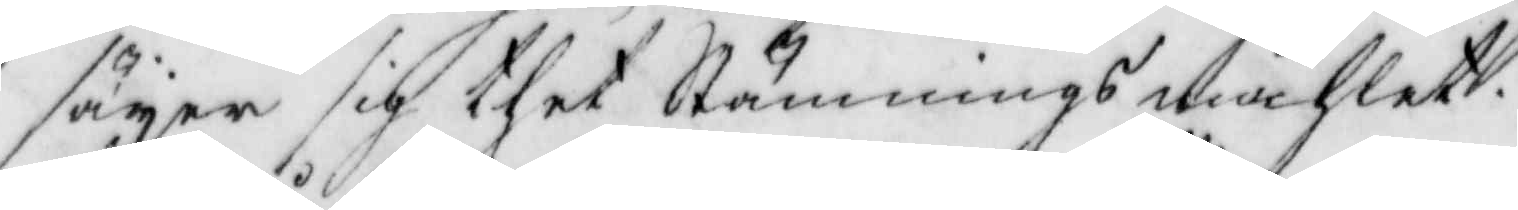säyer sig thet Stämnings måhlet.
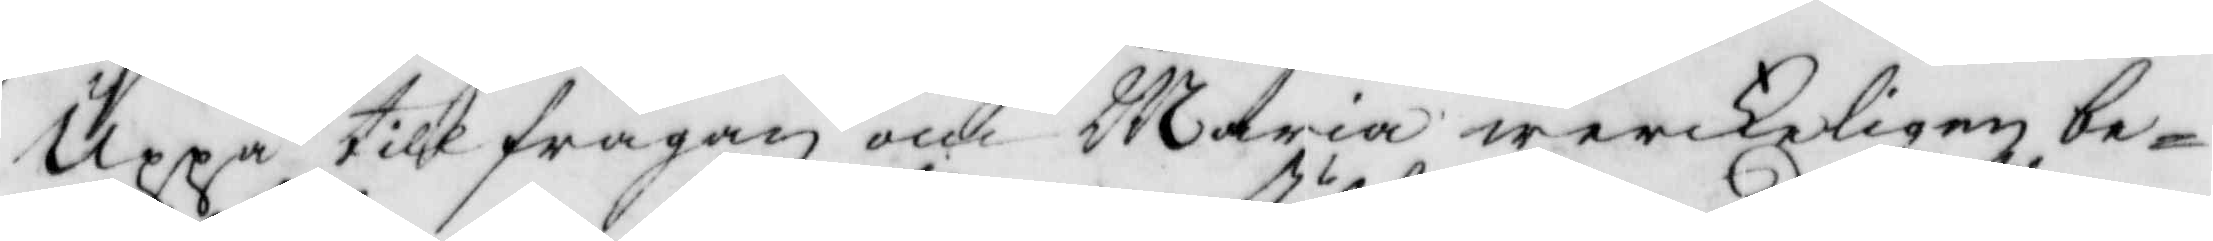Uppå tillfrågan om Maria werckeligen be¬
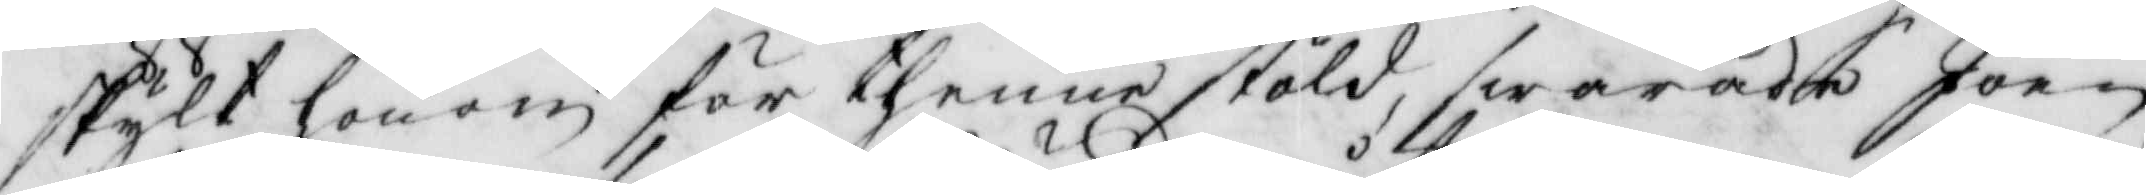skylt honom för thenne stöld, swarade Joen
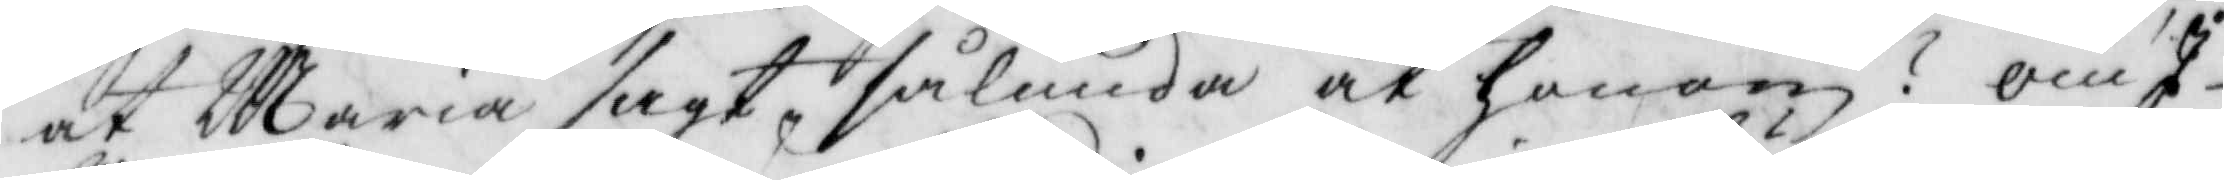at Maria sagt, sålunda åt honom? Om I
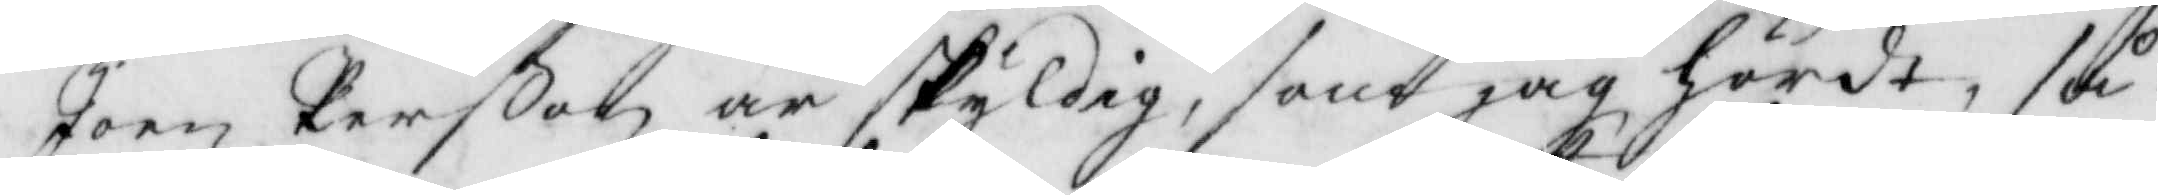Joen Perßon är skyldig, som jag hördt, så
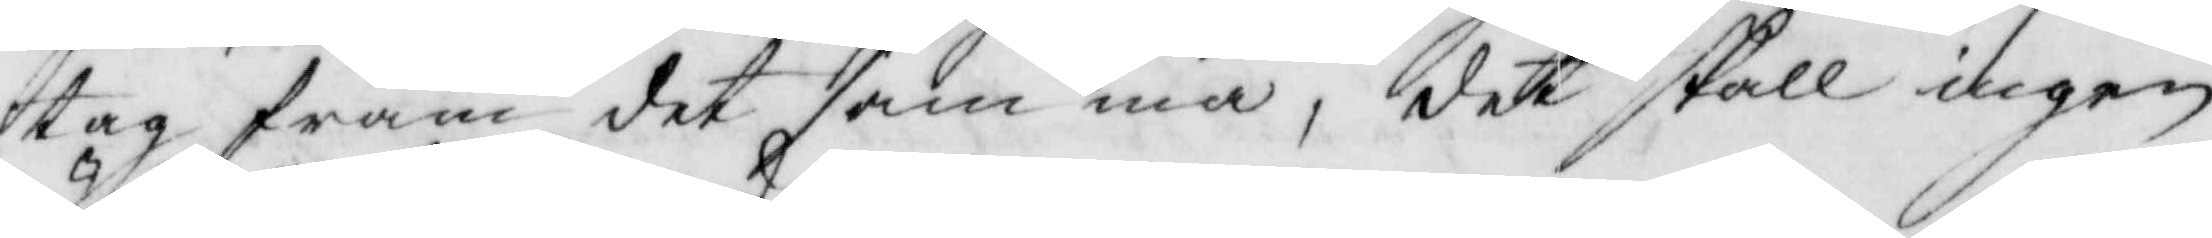tag fram det samma, det skall ingen
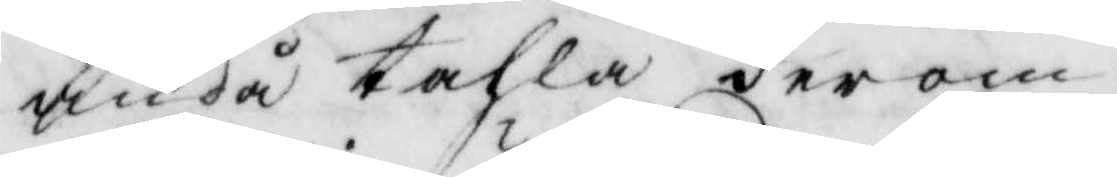ändå tahla derom.
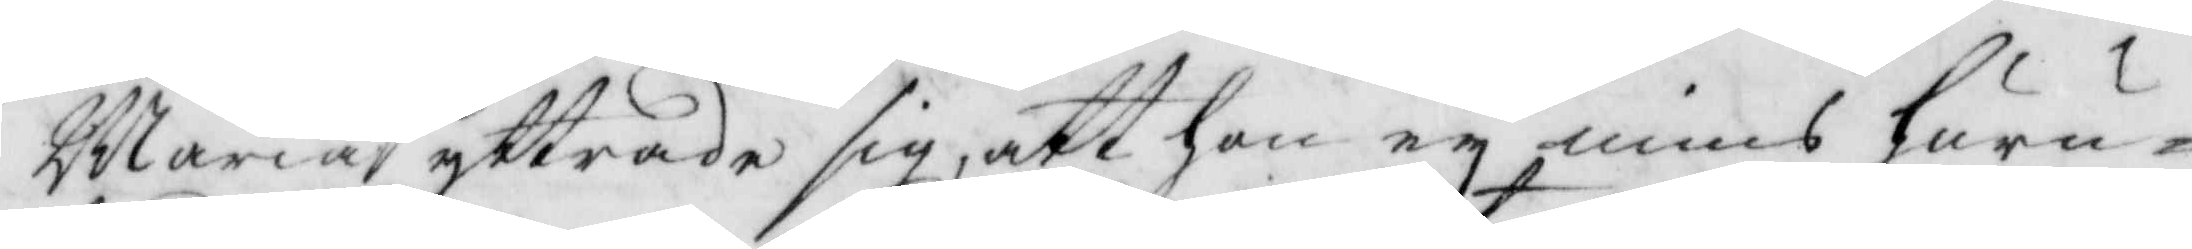Maria yttrade sig, att hon ey mins huru¬
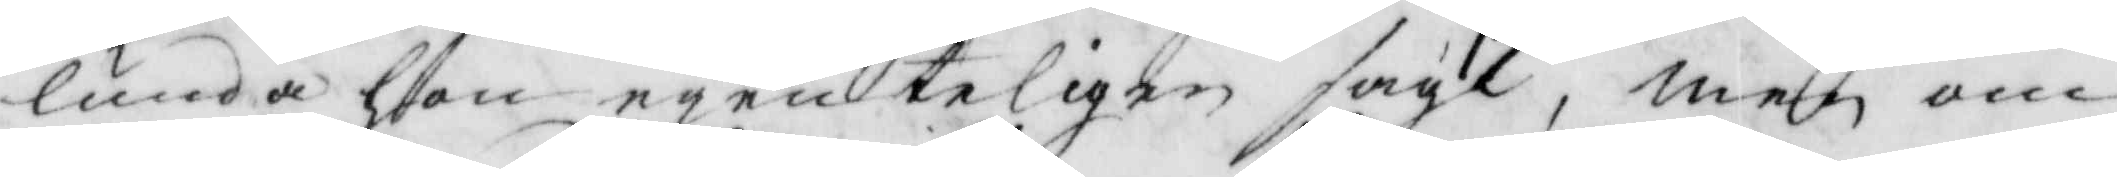lunda hon egenteligen sagt, men om
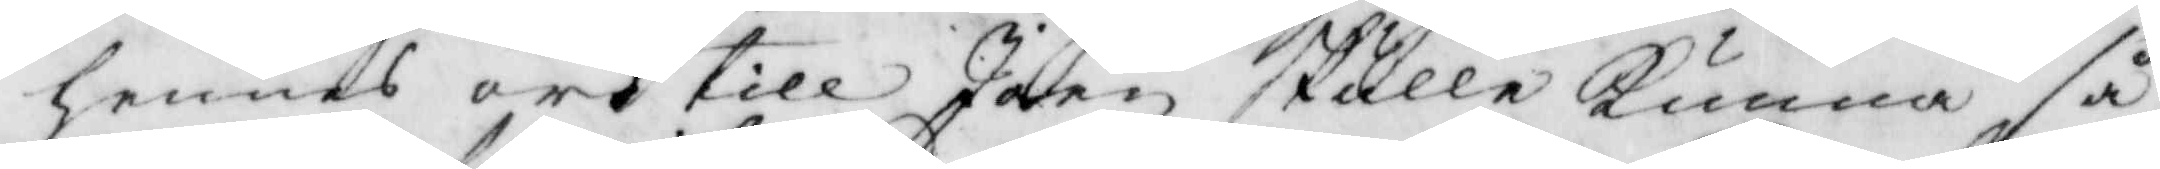hennes ord till Joen skulle kunna så
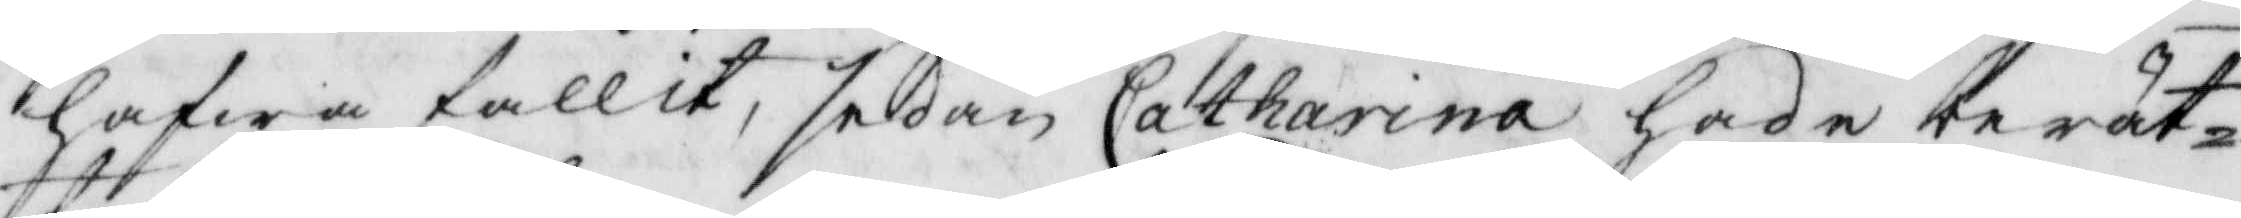hafwa fallit, sedan Catharina hade berät¬
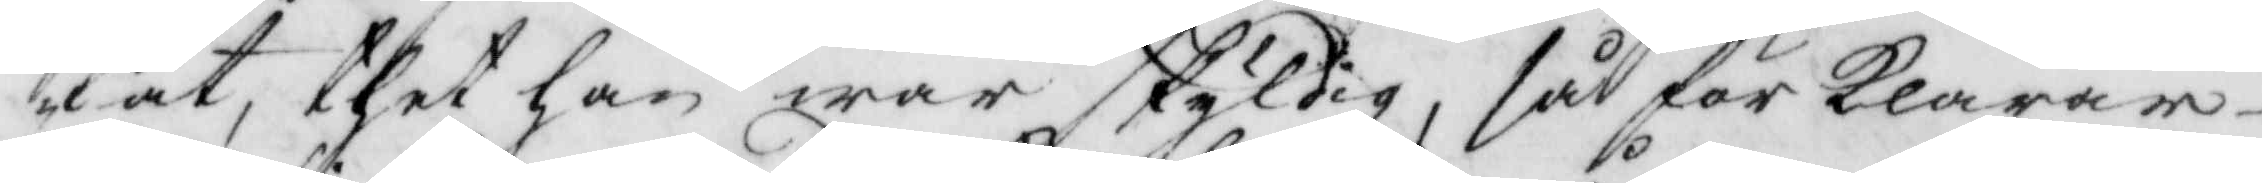tat, thet han war skyldig, så för klarar
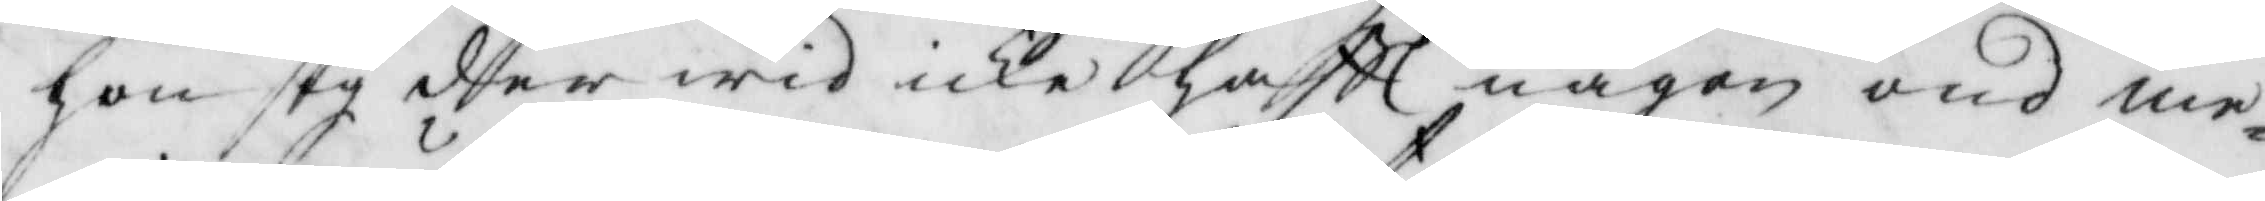hon sig dher wid icke hafft någon ond me¬
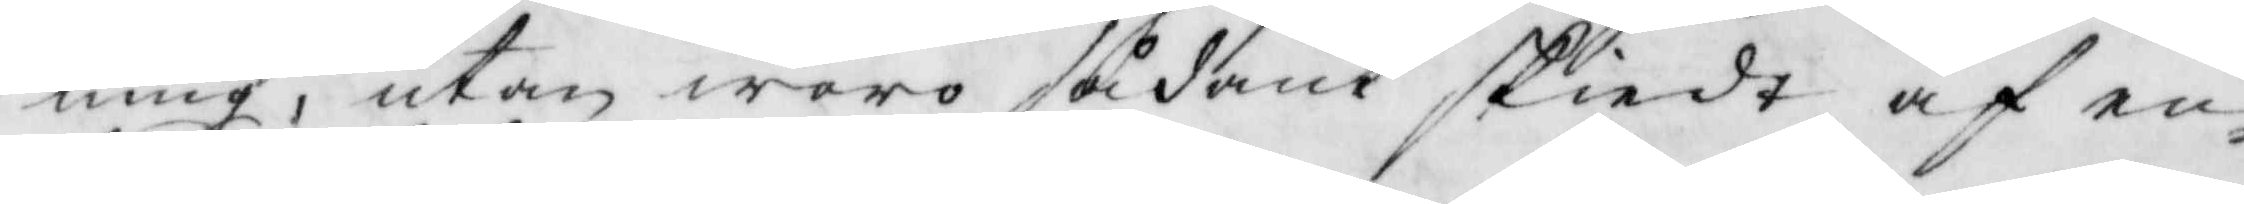ning, utan woro sådant skiedt af en¬
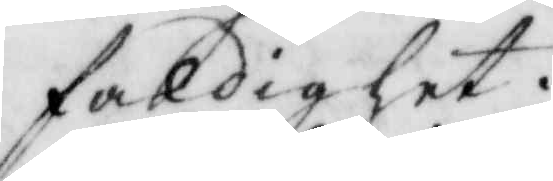faldighet.
